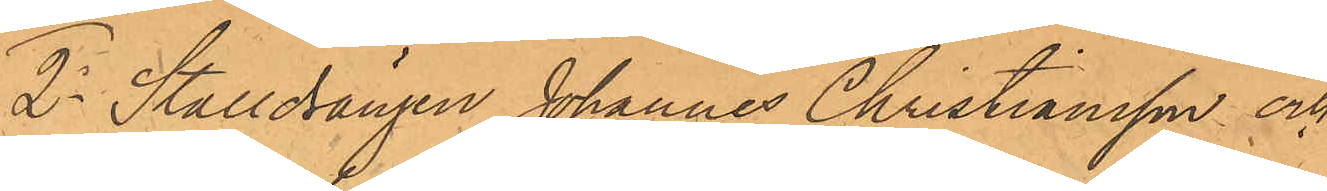2o Stalldrängen Johannes Christiansson och
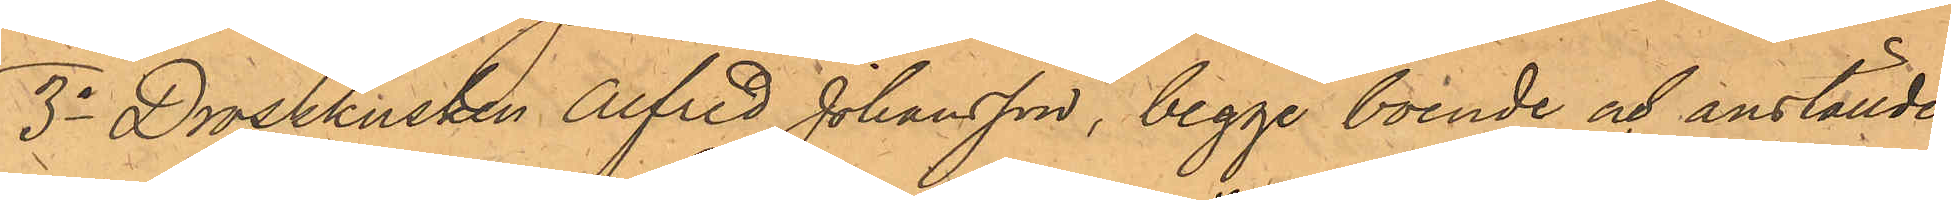3o Droskkusken Alfred Johansson, begge boende och anställde
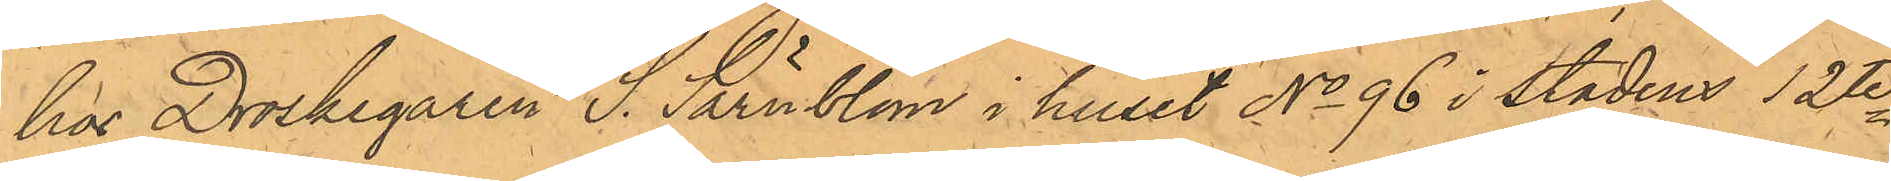hos Droskegaren S. Särnblom i huset No 96 i Stadens 12te
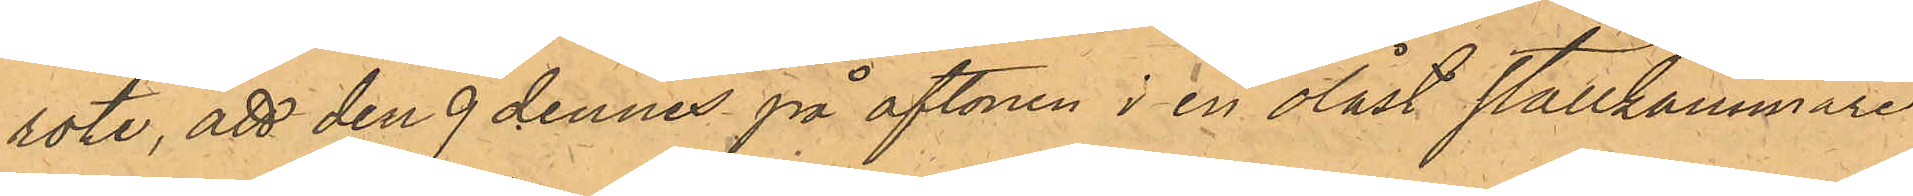rote, att den 9 dennes på aftonen i en olåst stallkammare
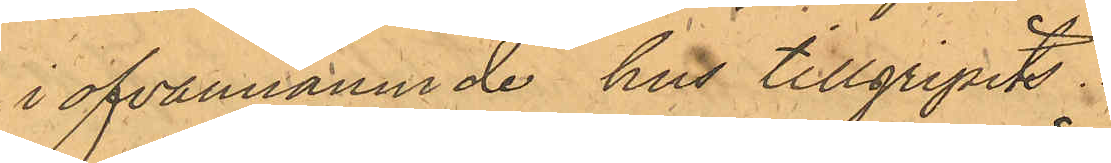i ofvannämnde hus tillgripits.
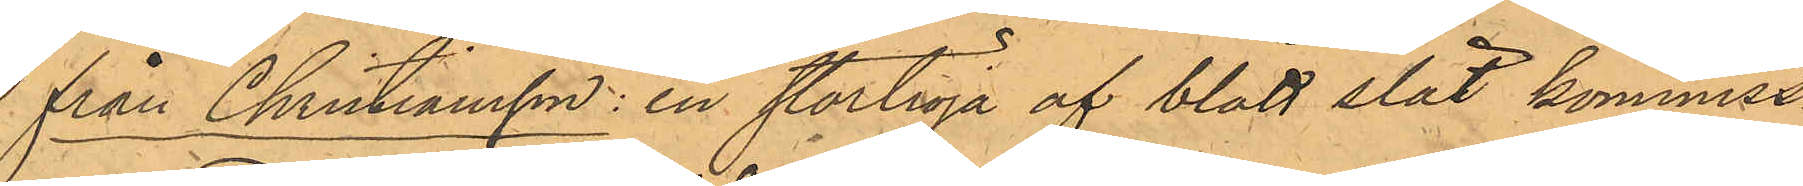från Christiansson: en stortröja af blått slät kommiss¬
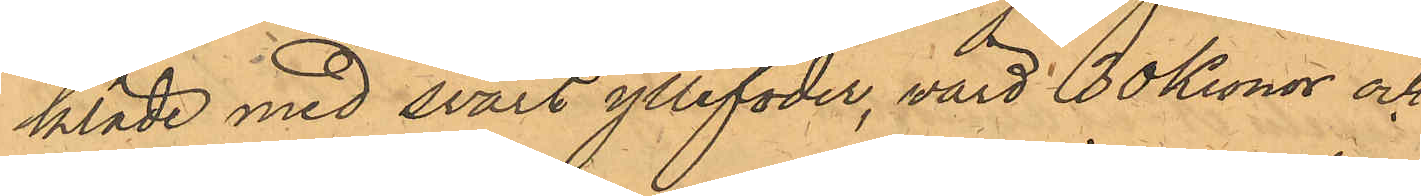kläde med svart yllefoder, värd 30 Kronor och
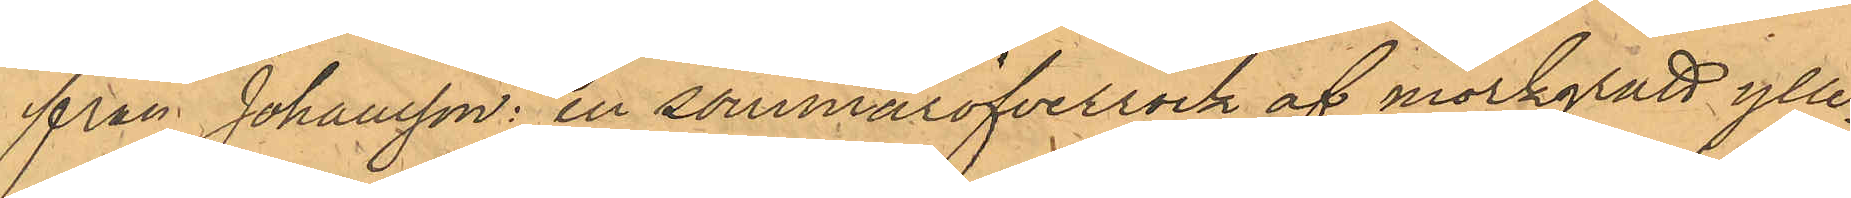från Johansson: en sommaröfverrock af mörkgrått ylle¬
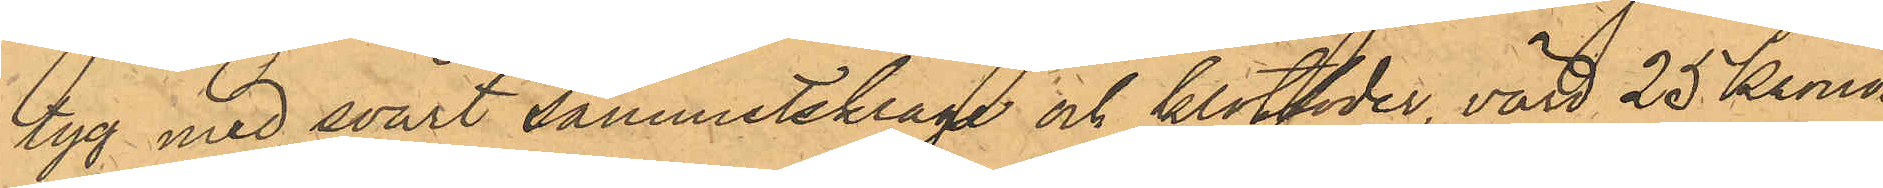tyg med svart sammetskrage och klotfoder, värd 25 Kronor
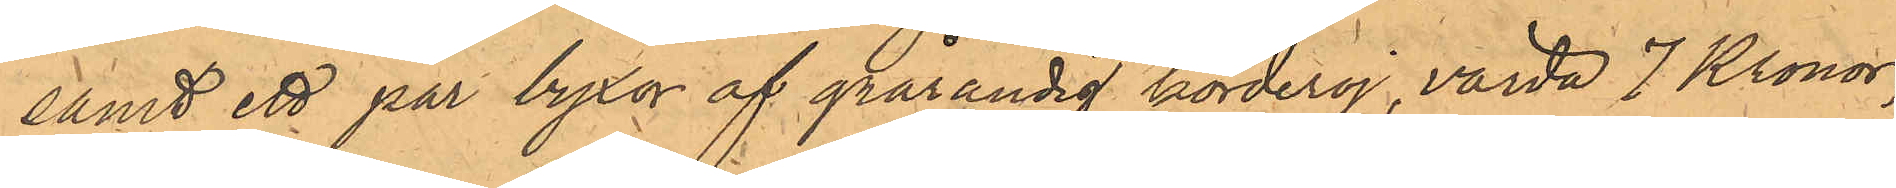samt ett par byxor af grårandig korderoj, värda 7 Kronor;
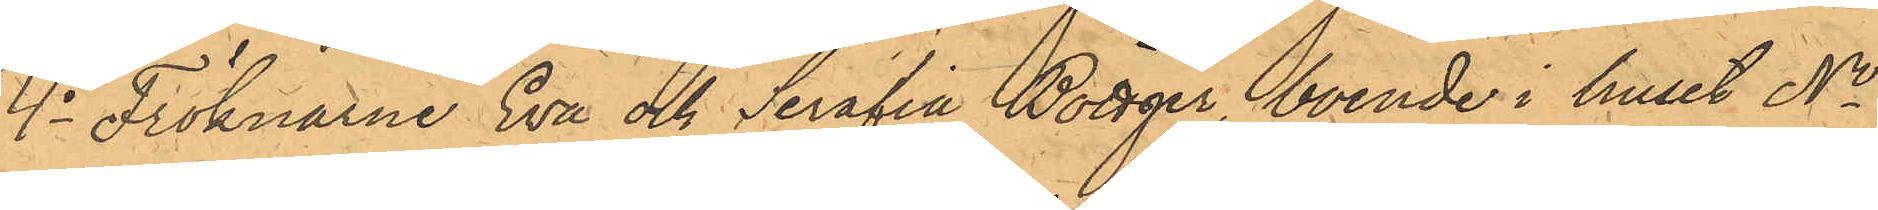4o Fröknarne Eva och Serafia Böttger, boende i huset No
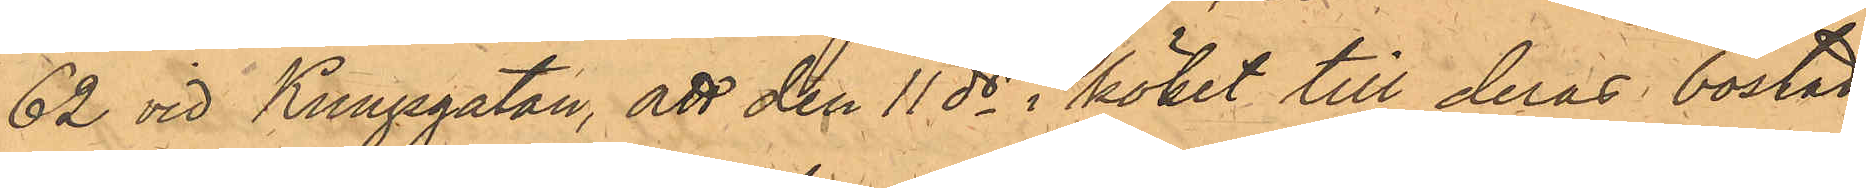62 vid Kungsgatan, att den 11 ds i köket till deras bostad
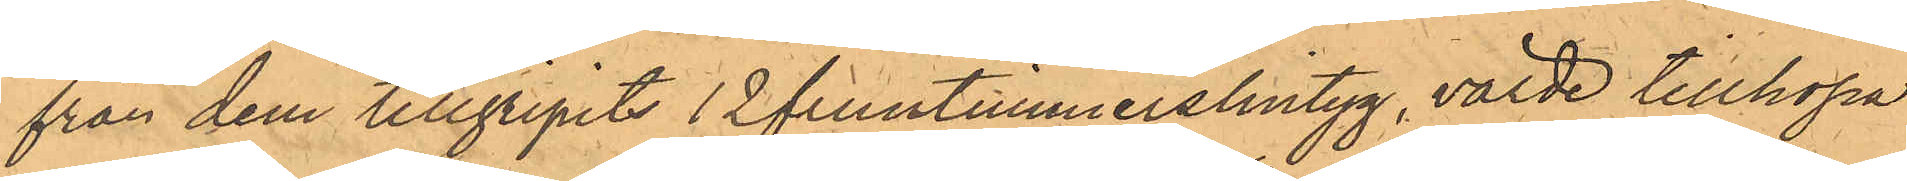från dem tillgripits 12 fruntimmerslintyg, värde tillhopa
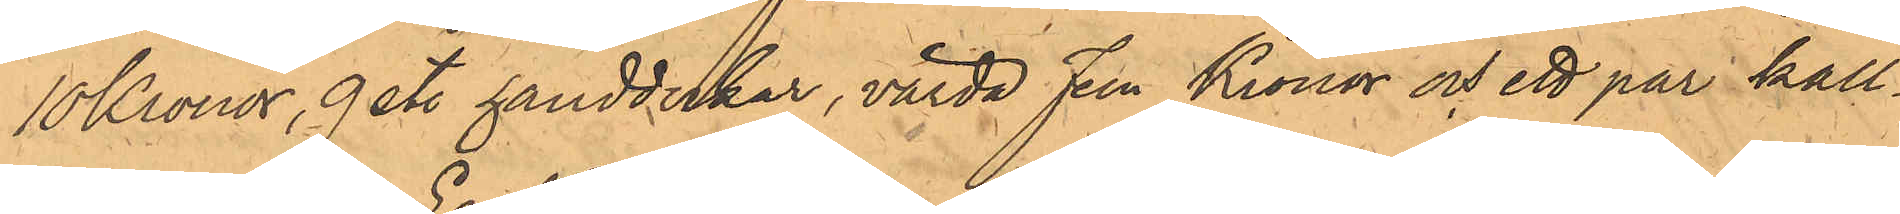10 Kronor, 9 st. handdukar, värda Fem Kronor och ett par kall¬
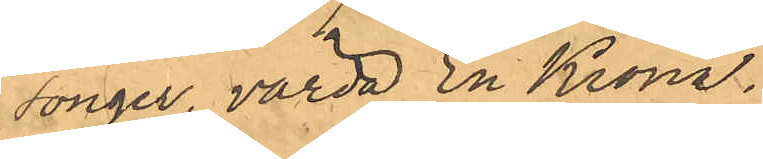songer, värda En Krona.
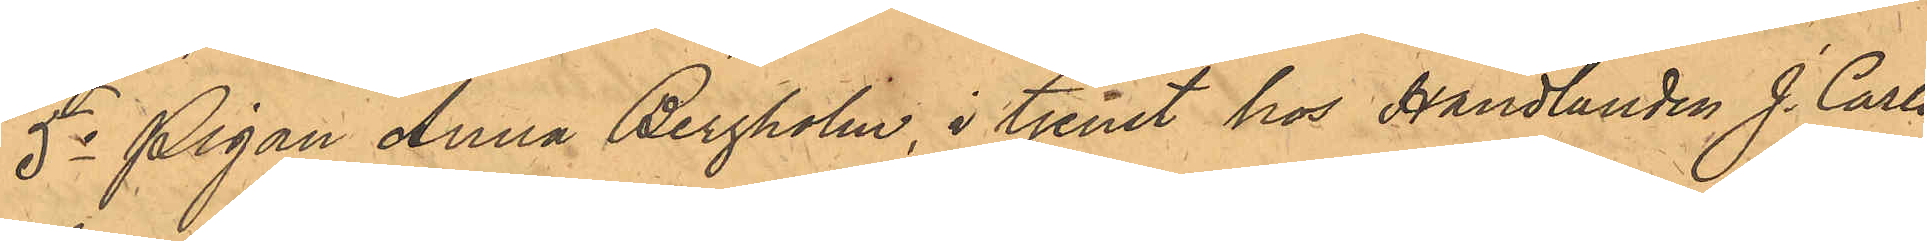5o Pigan Anna Bergholm, i tjenst hos Handlanden J. Carls¬
